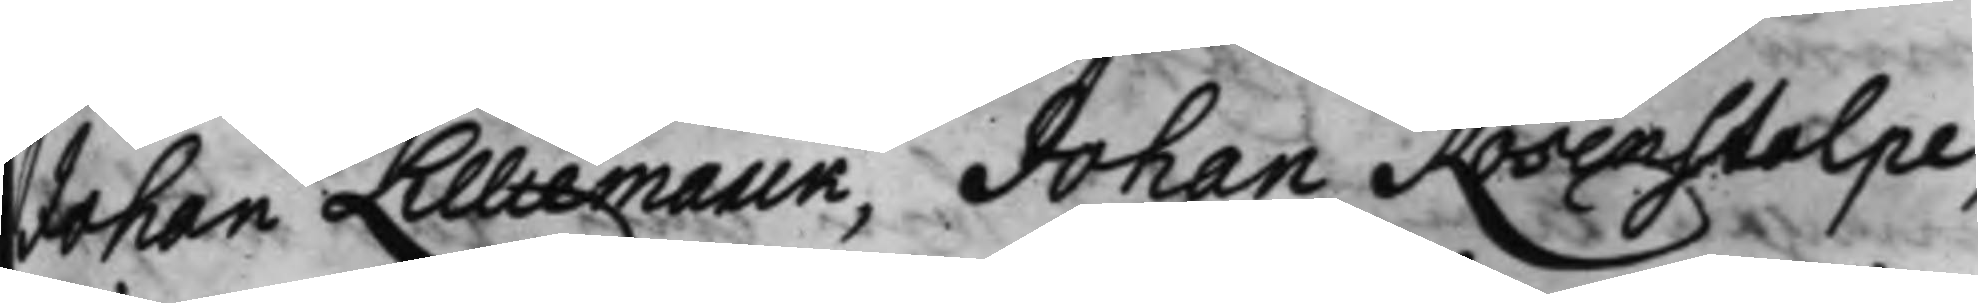Johan Lilliemarck, Johan Rosenstolpe,
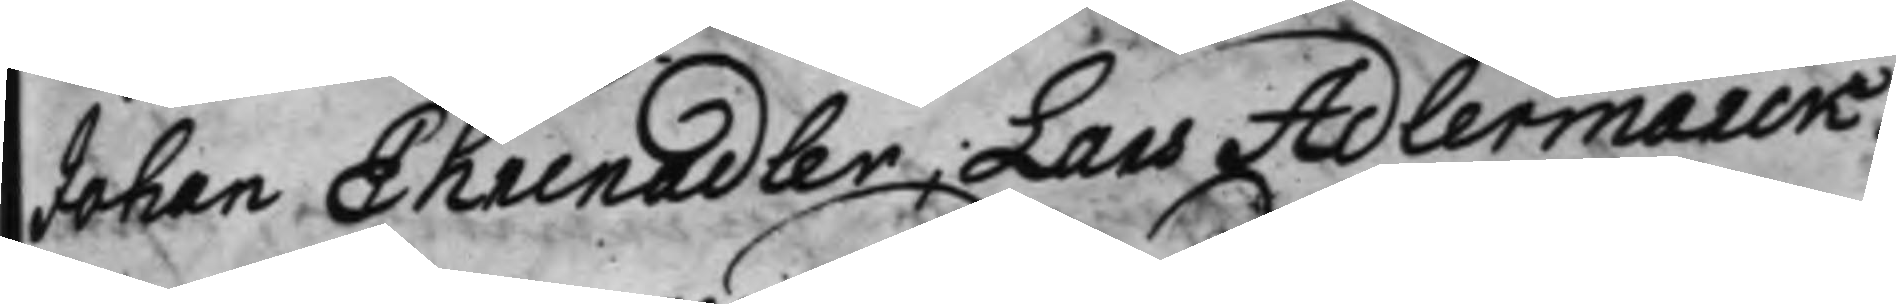Johan Ehrenadler, Lars Adlermarck.
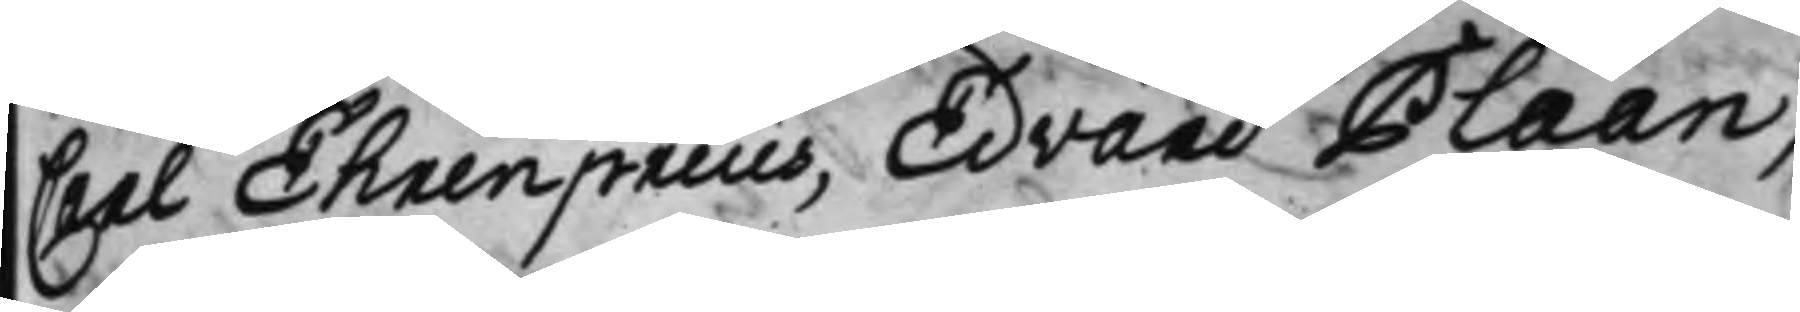Carl Ehrenpreus, Edvard Plaan,
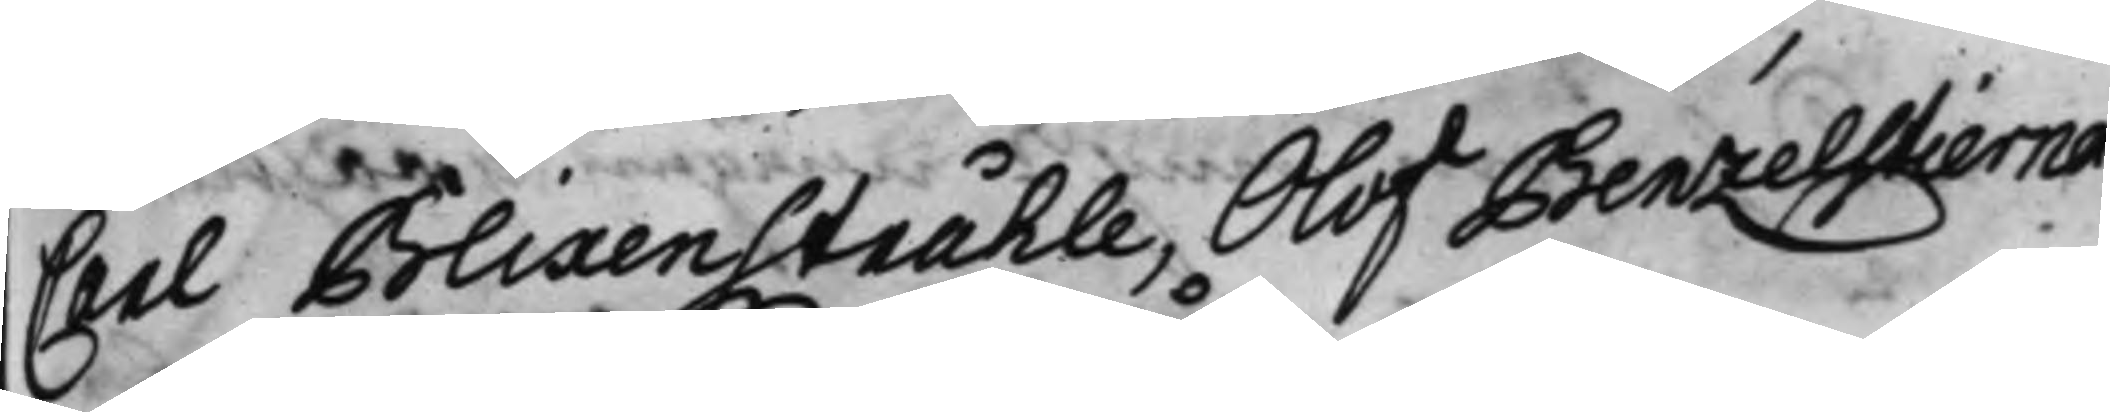Carl Blixenstråhle, Olof Benzelstierna.
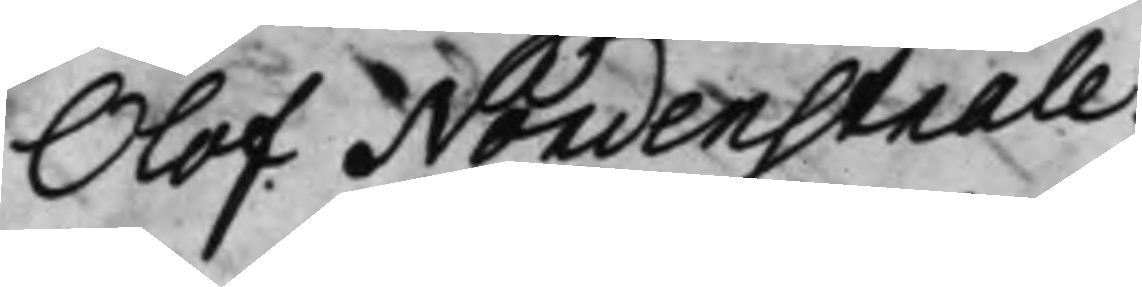Olof Nordenstråle.
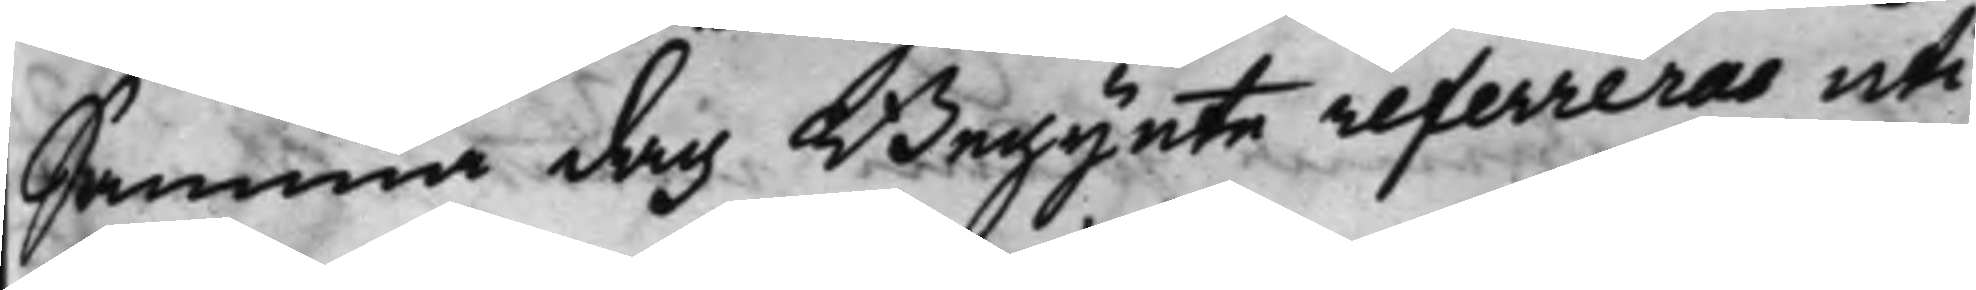Samma dag Begynte refereras uti
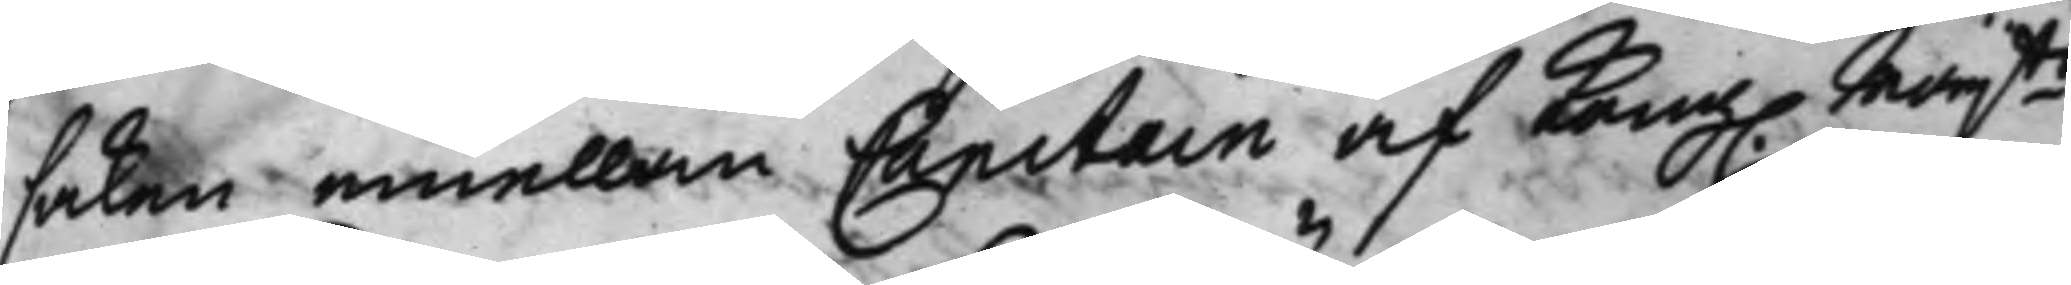saken emellan Capitain af Kong. Maijts 
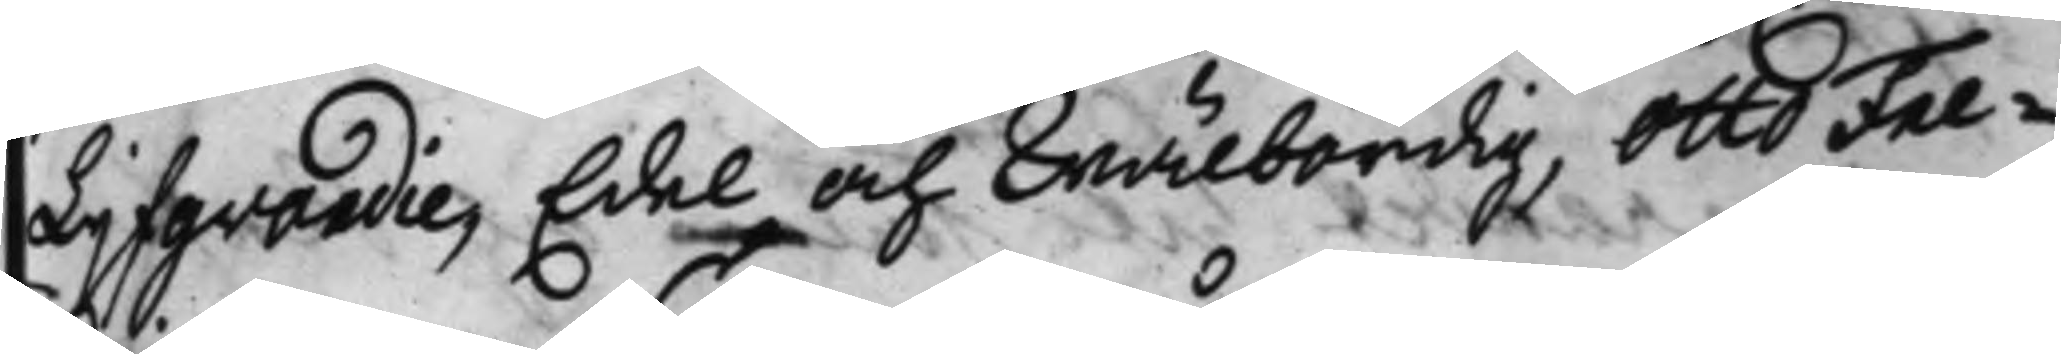Liifgvardie, Edel och Wälbördig, Otto Fre¬
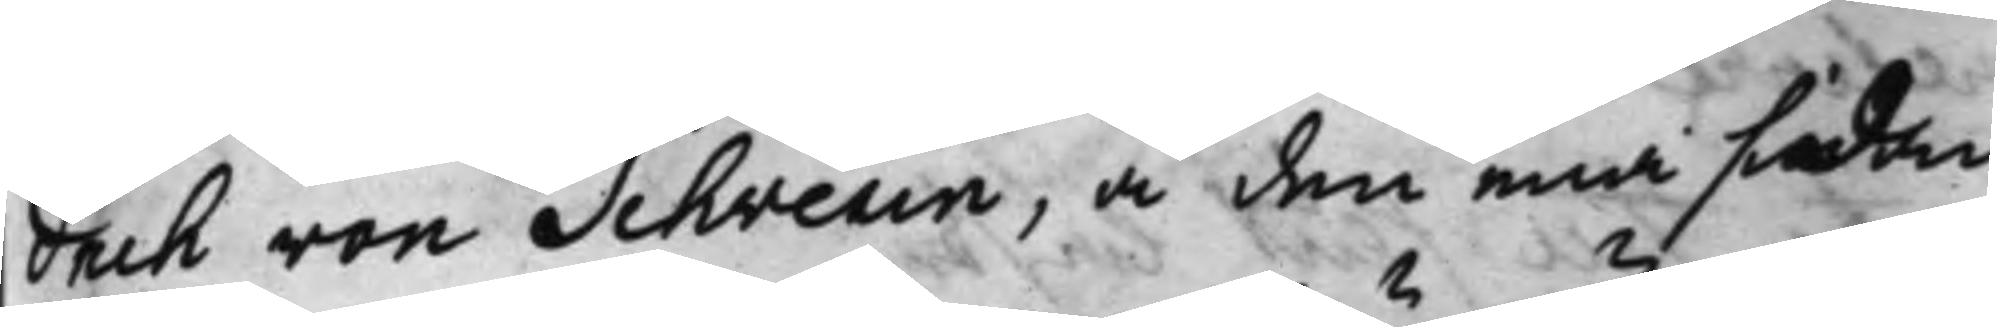drik von Schverin, å den ena sidan
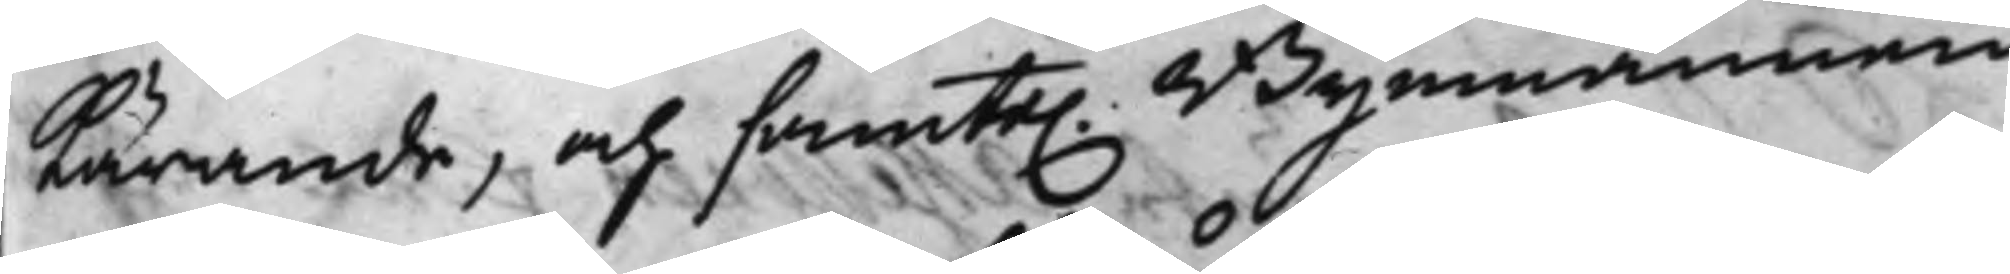kärande, och samte. Byemännen
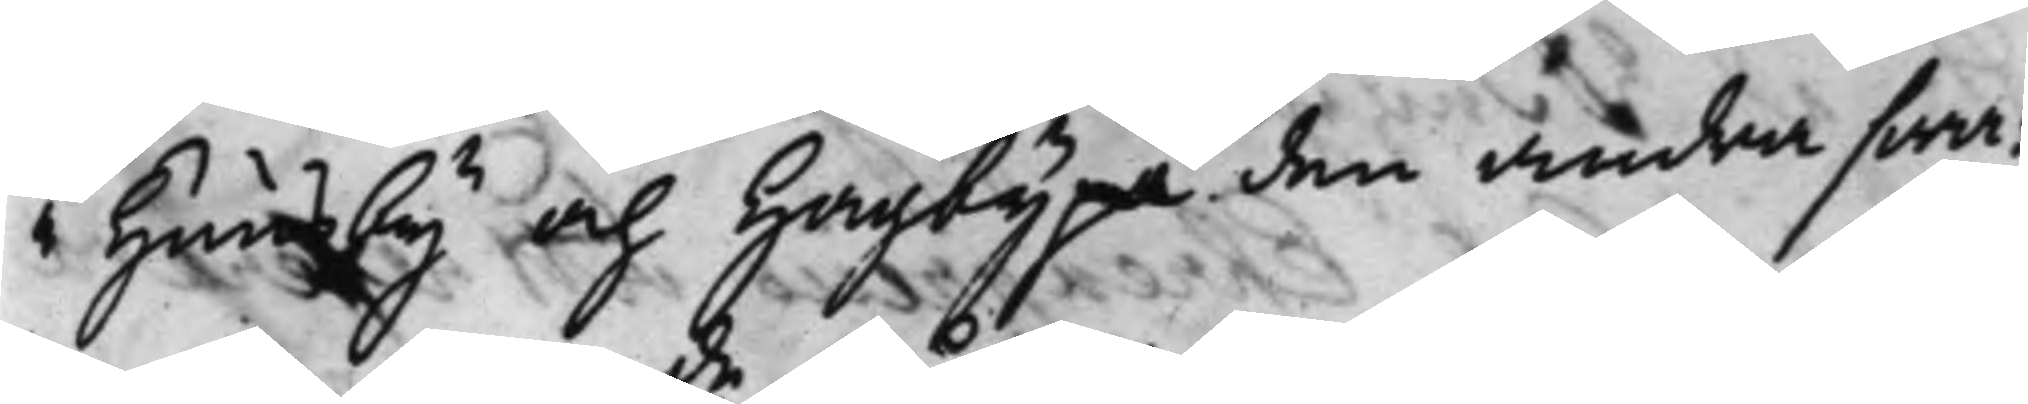i Huusby och Hagby på den andra swa¬
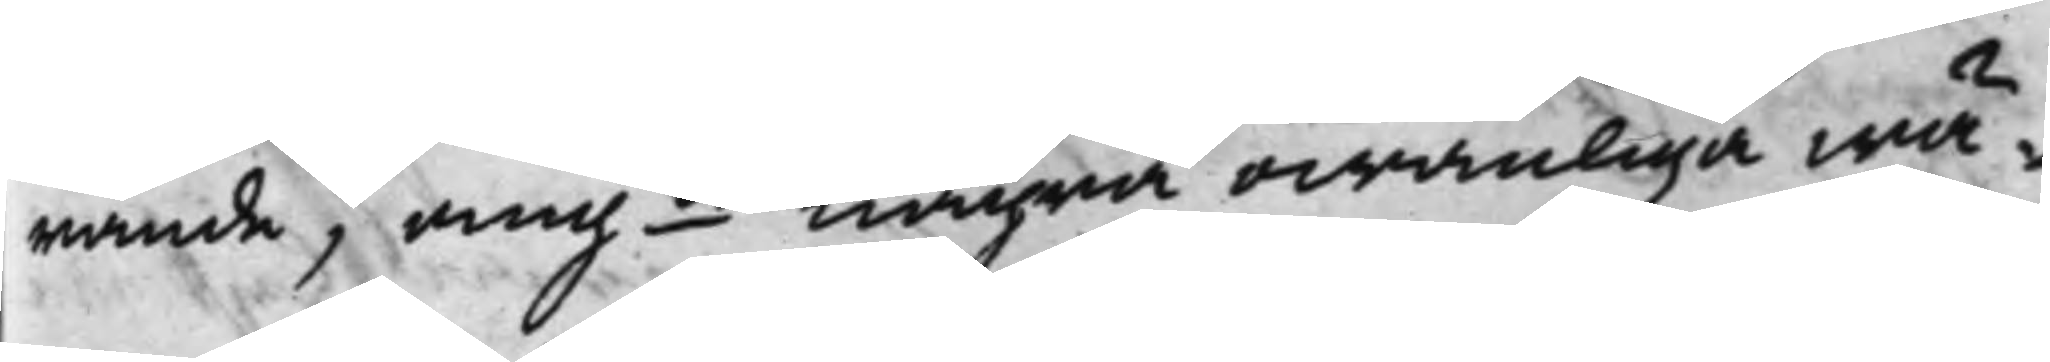rande, angde några owanliga wä¬
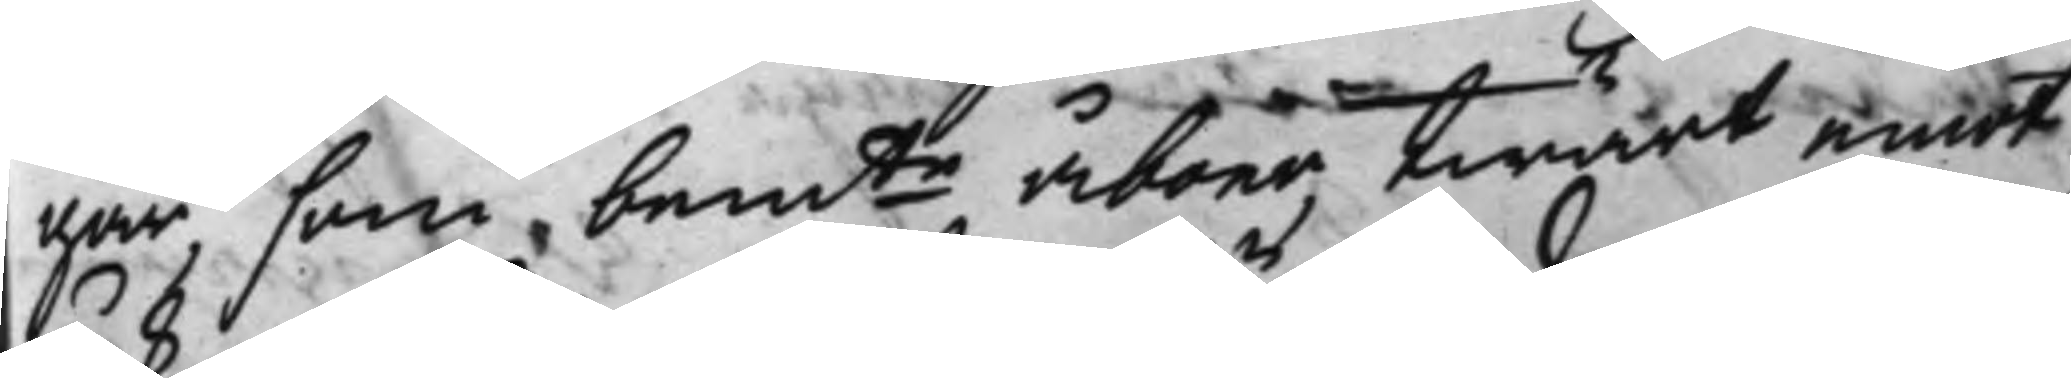gar, som bemte åboer, twärt emot
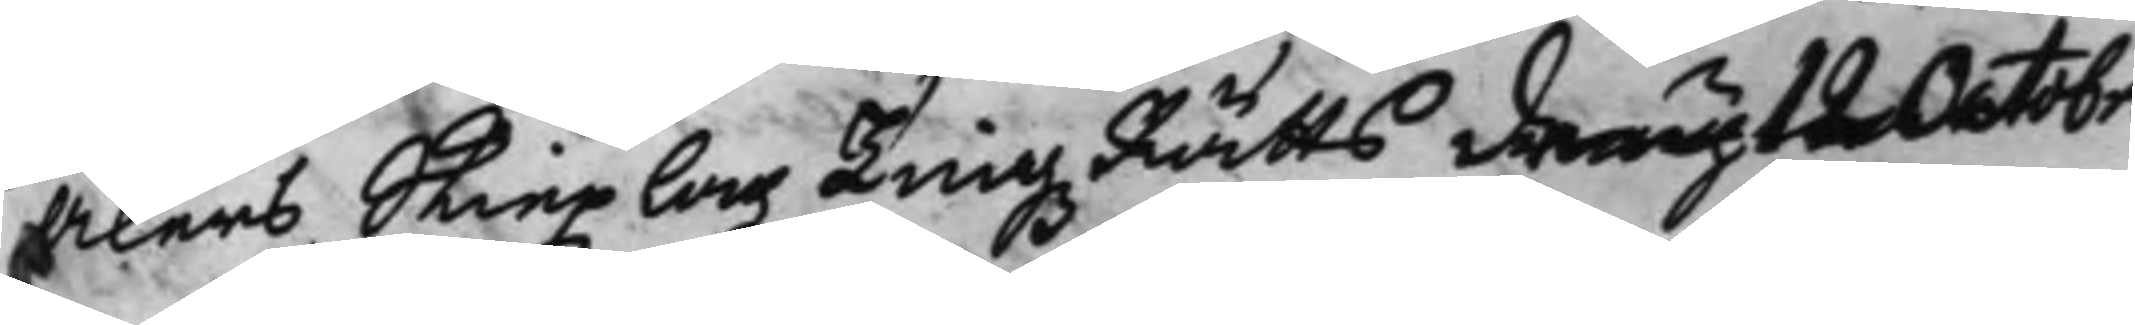Åkers Skiepzlagz TingzRätts den uth 12 Octobr.
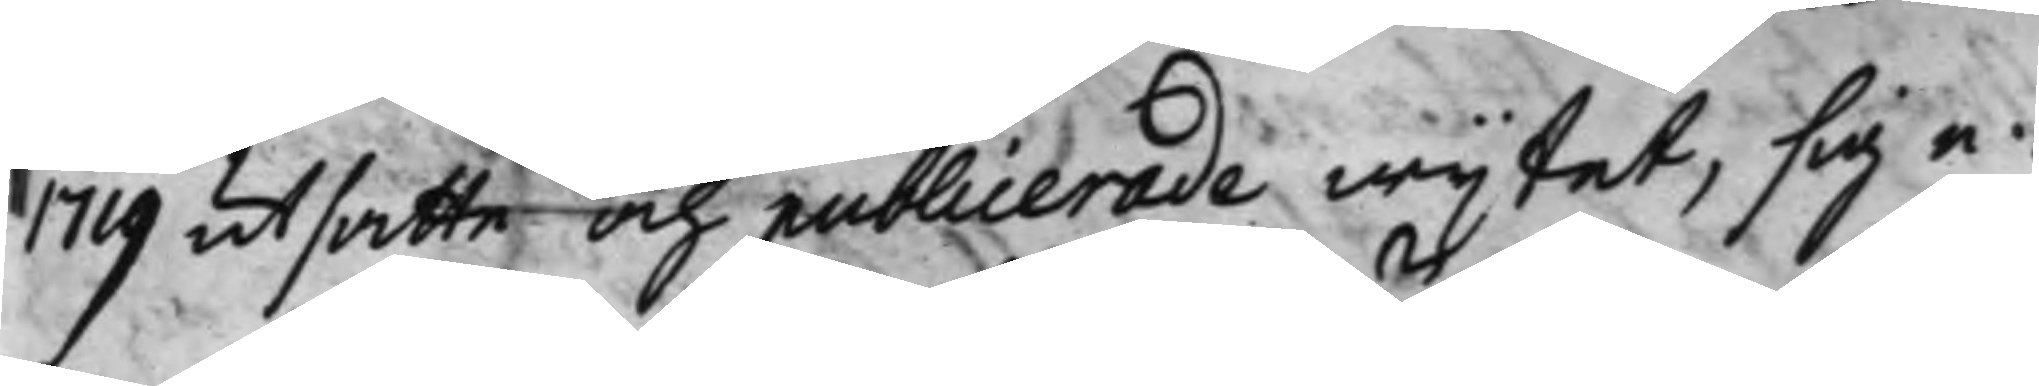1719 utsatte och publicerade wijtet, sig e¬
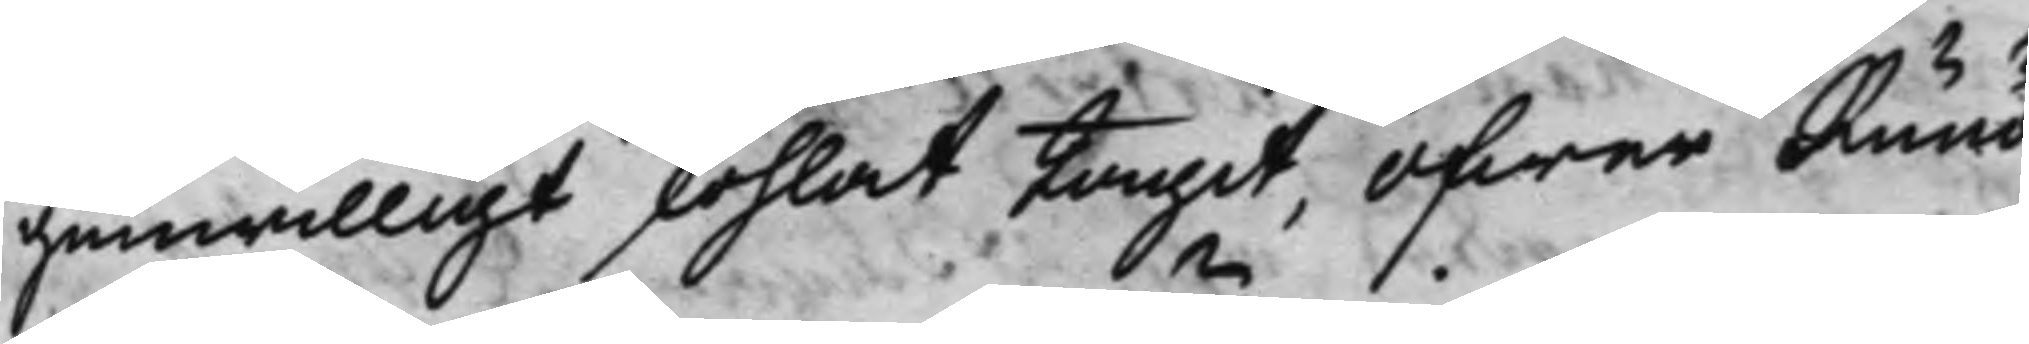genwilligt skohlat tagit, öfwer Runö
